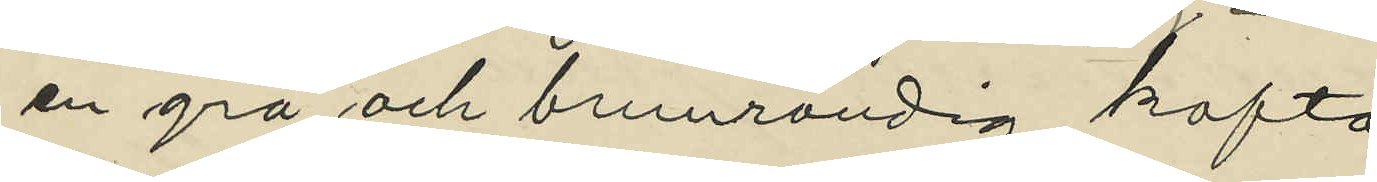en grå och brunrandig kofta
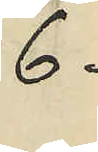6 -
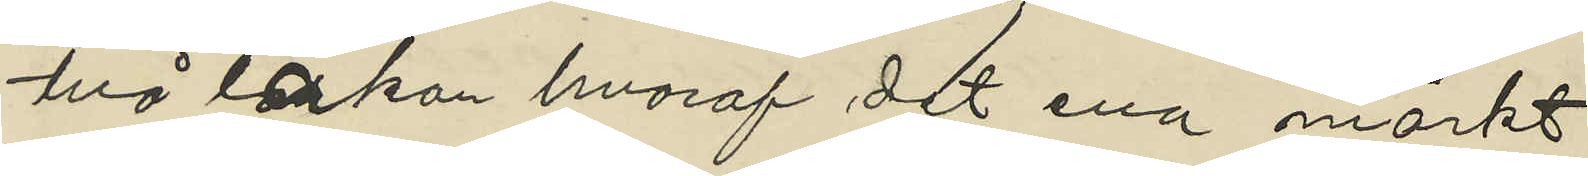två lakan hvaraf det ena märkt
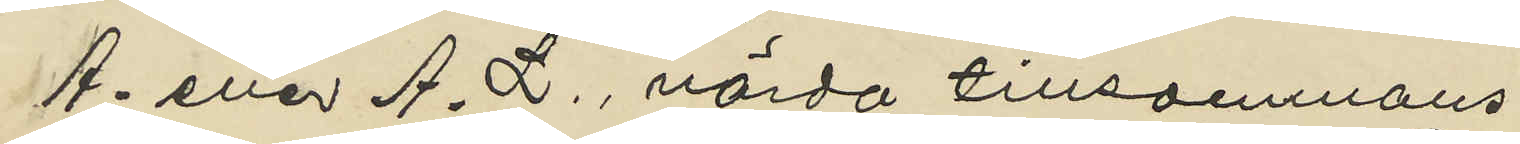A. eller A. L., värda tillsammans
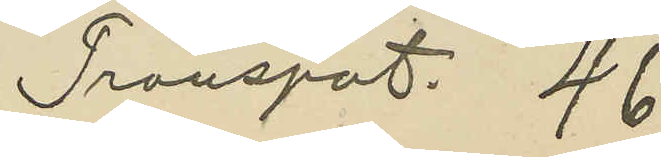Transpot. 46
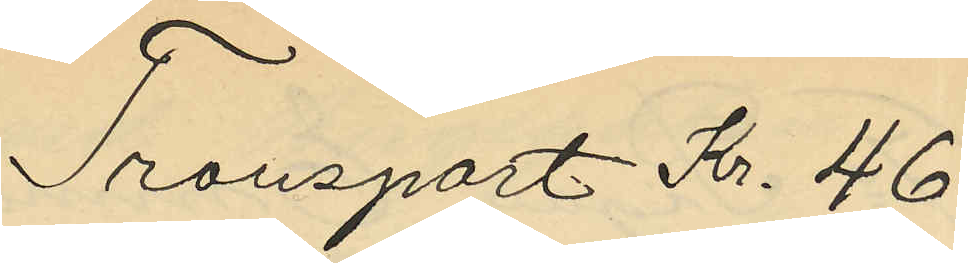Transport Kr. 46
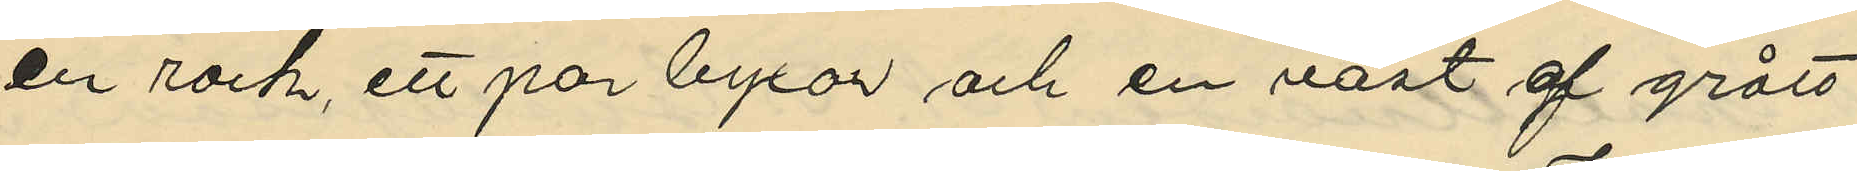en rock, ett par byxor och en väst af grått
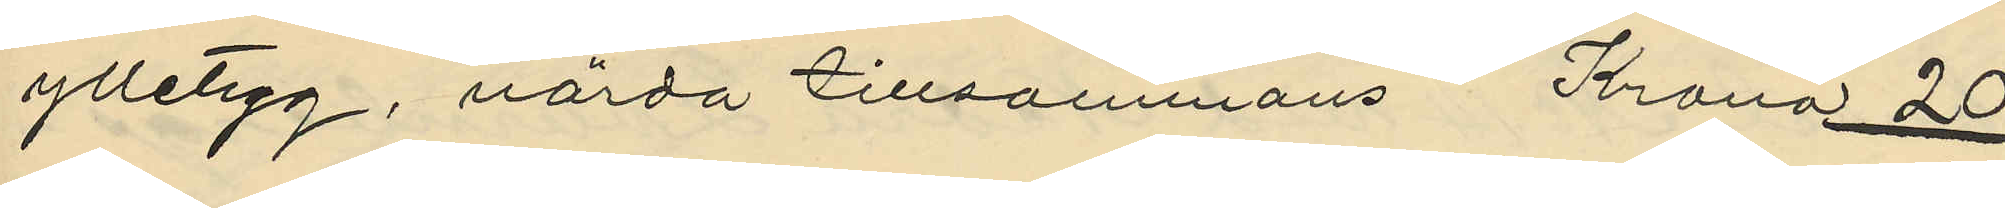ylletyg, värda tillsammans Krona 20
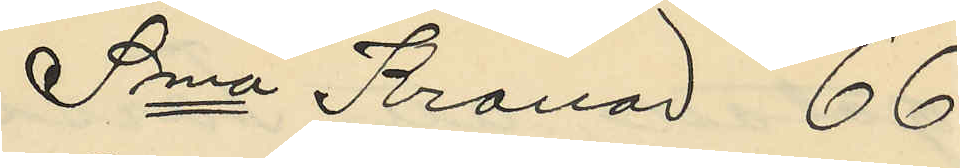Sma Kronor 66
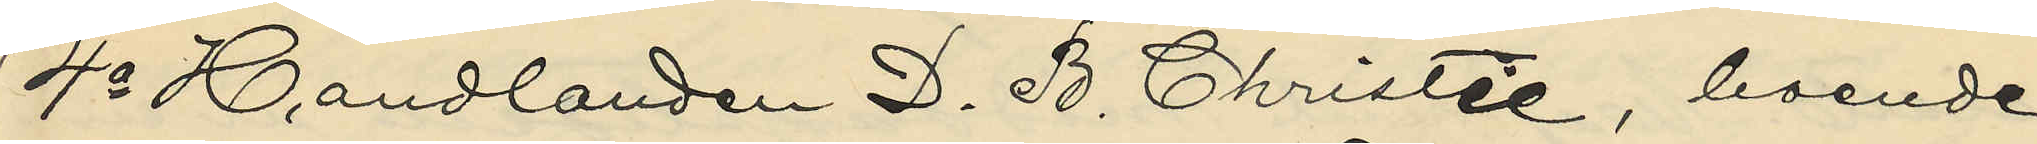4o Handlanden D. B. Christie, boende
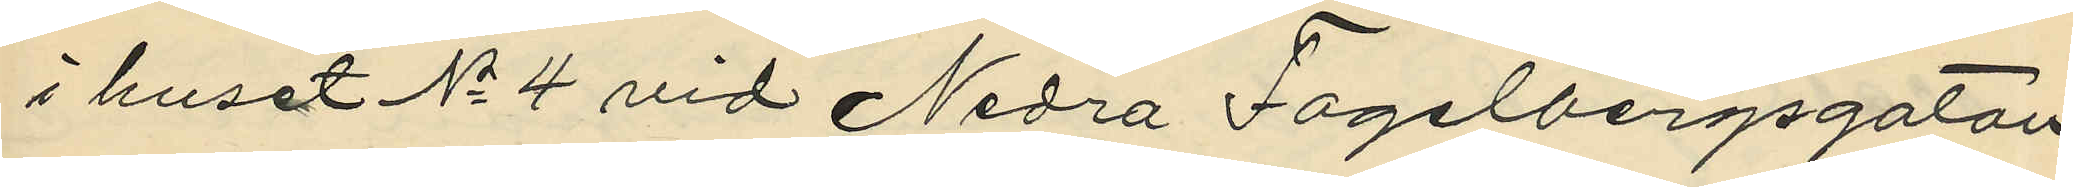i huset No 4 vid Nedra Fogelbergsgatan,
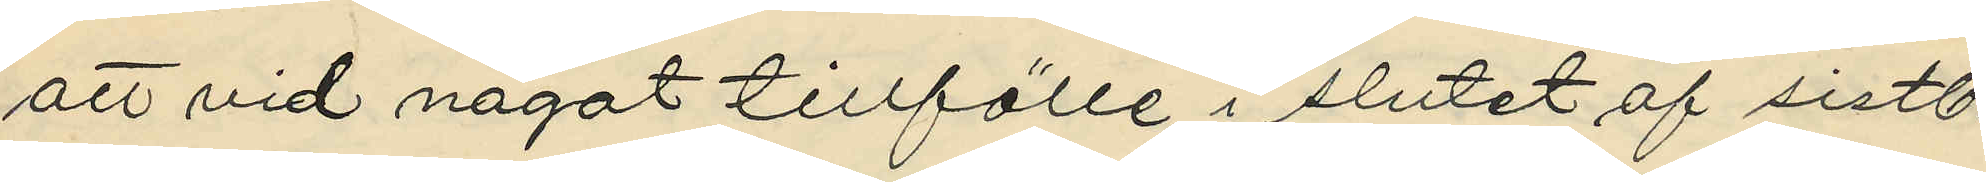att vid något tillfälle i slutet af sistl.
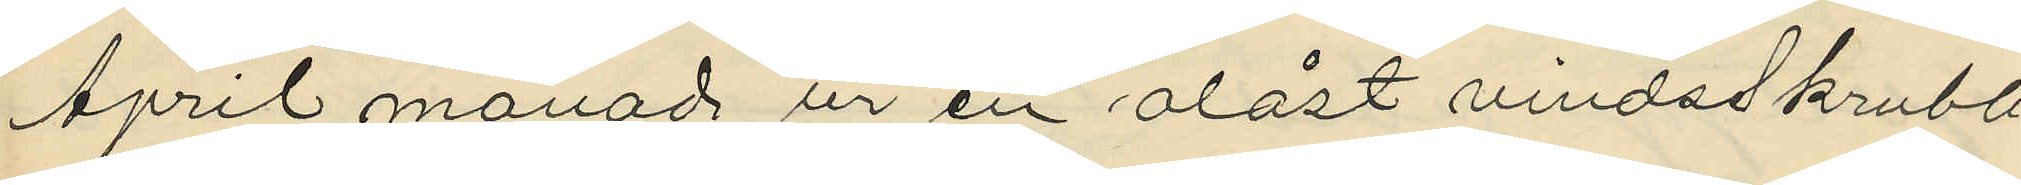April månad ur en olåst vindsskrubb
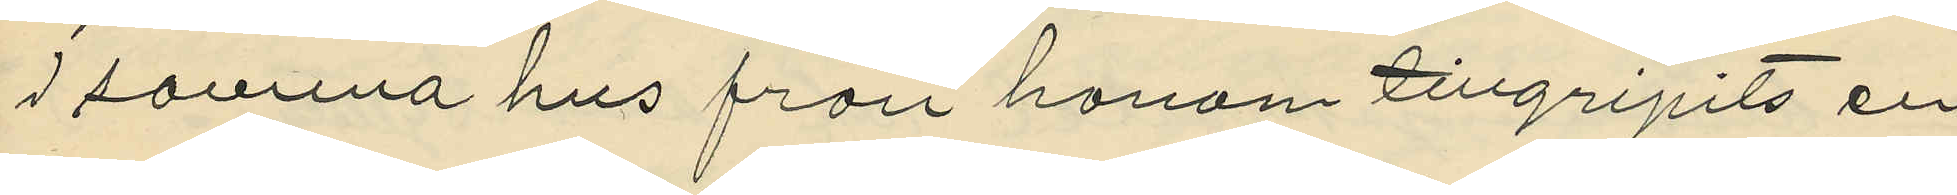i samma hus från honom tillgripits en
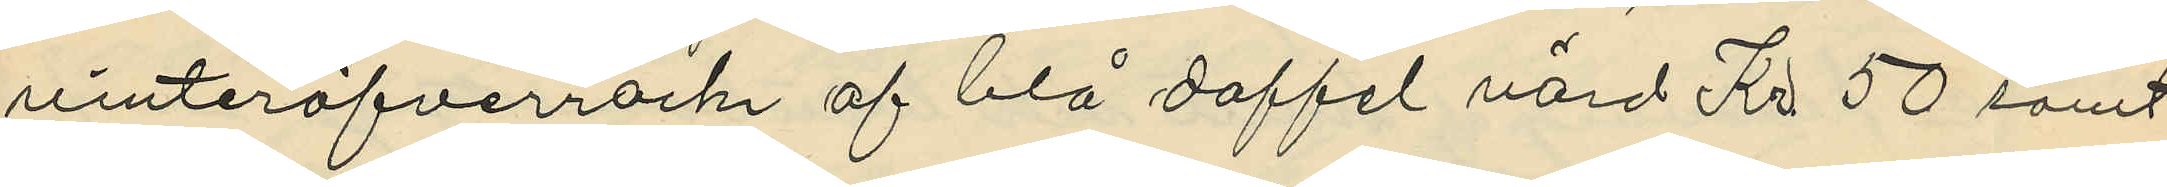vinteröfverrock af blå doffel värd Kr 50 samt
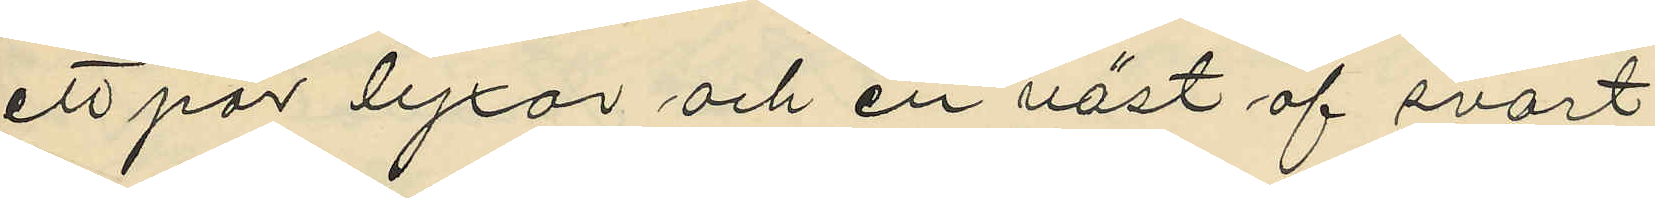ett par lyxor och en väst af svart
